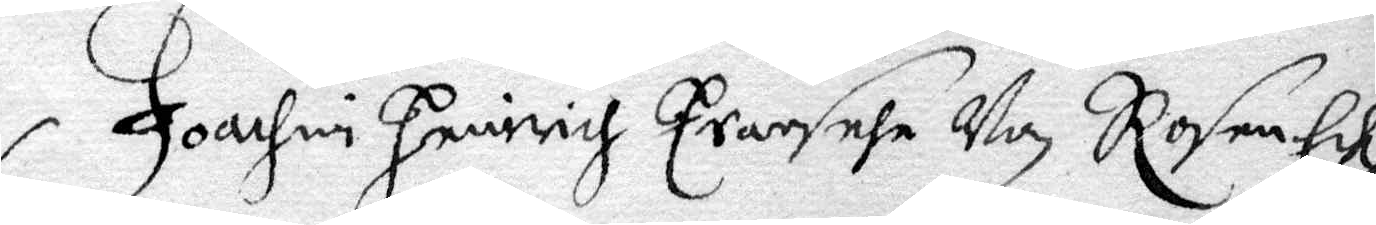Joachim Henirich Erarsehe Won RosenEek
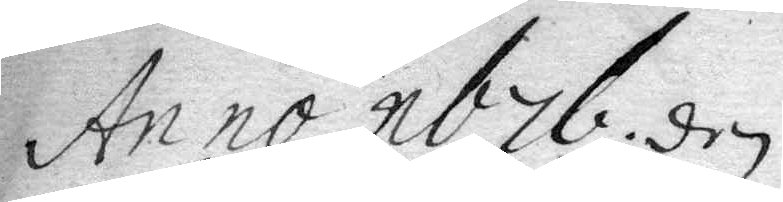Anno 1676. den
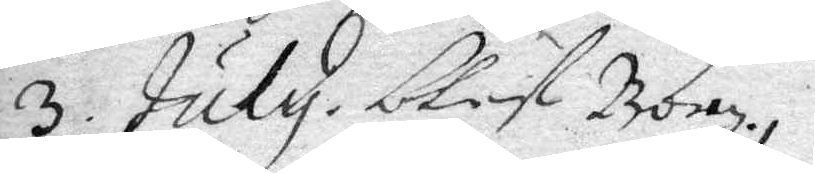3 July blef Bo..
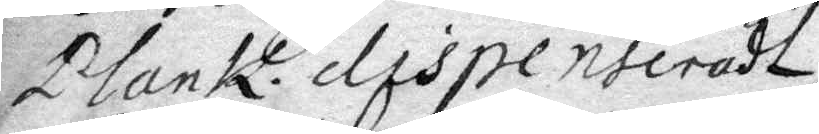Plank. dispenseradt
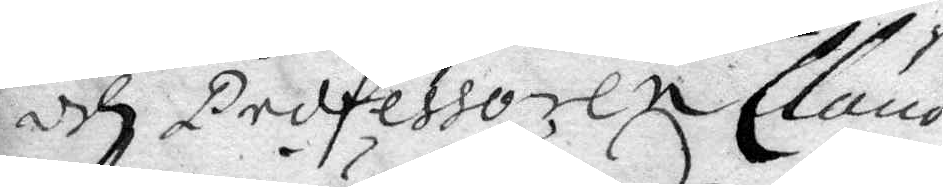och Professoren Claud
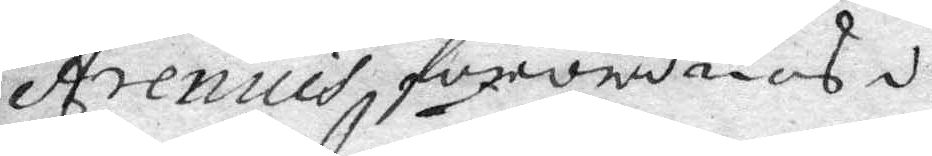Arenius förordnad i 
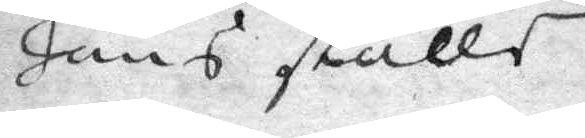hans ställe.
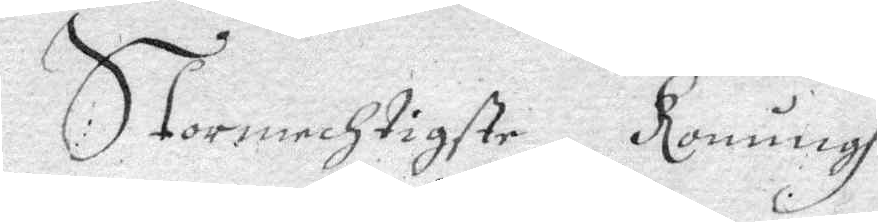Stormechtigste Konungh
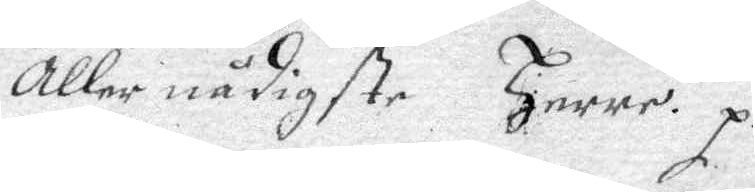aller nådigste Herre. p.
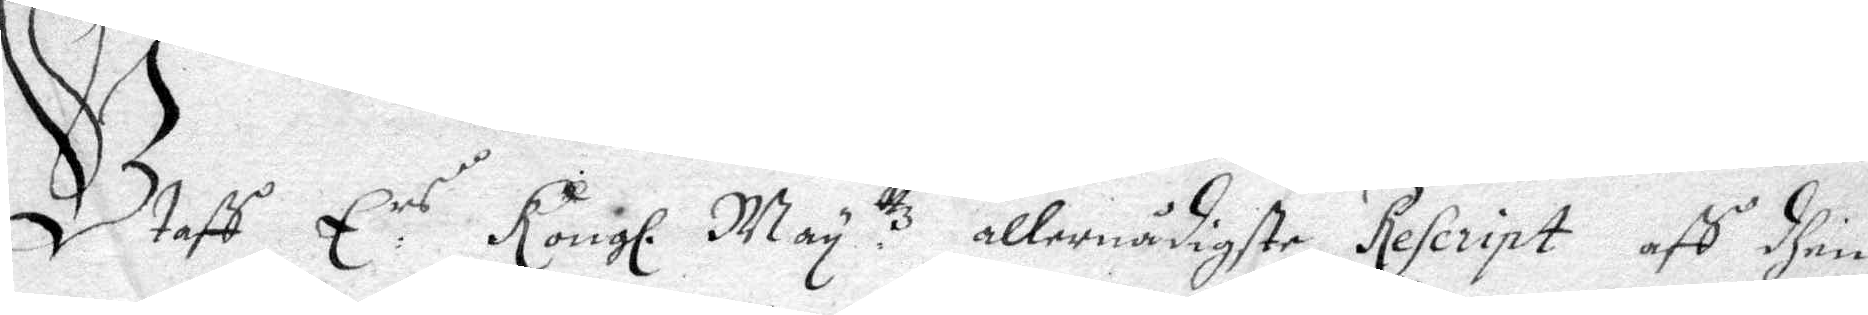Utafh E rs Kongl. May. ttz allernådigste rescript afh dhen
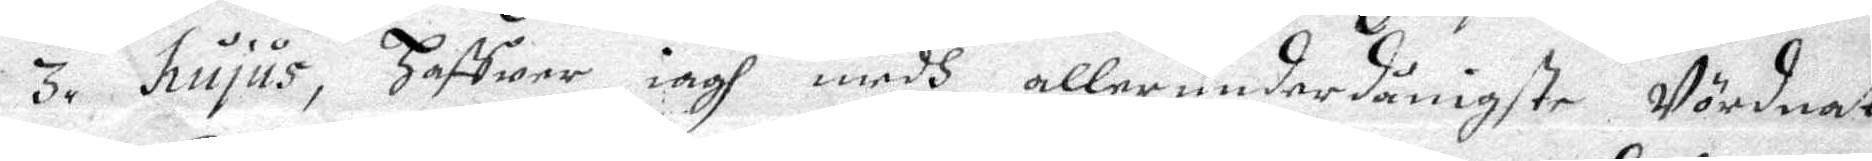3. hujus, haffwer iagh medh allerunderdånigste Wördnat
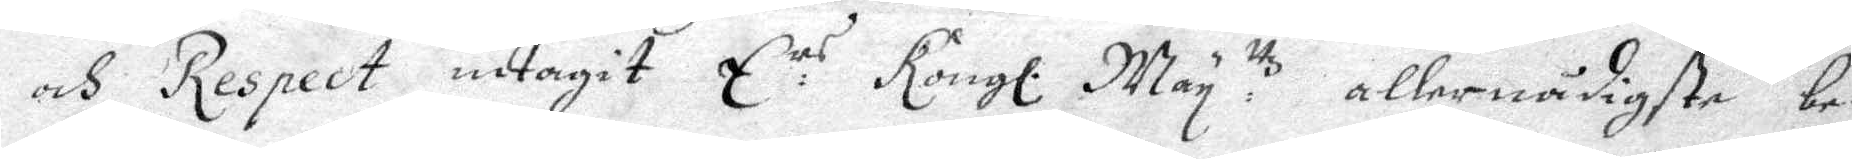och respect intagit E:rs Kongl. May ttz allernådigste be¬
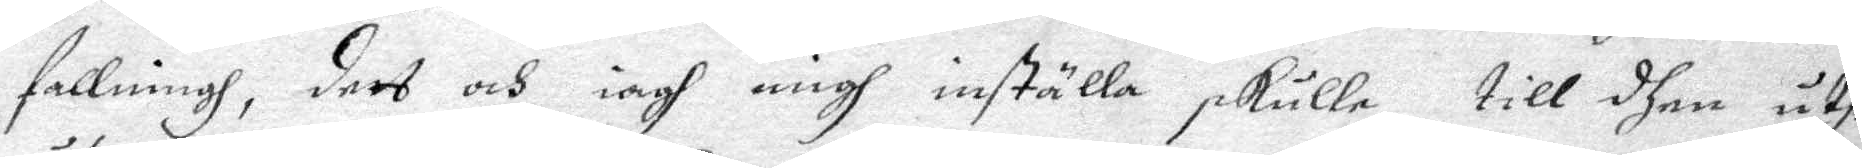fallningh, ders och iagh migh inställa skulle, till dhen Uthi
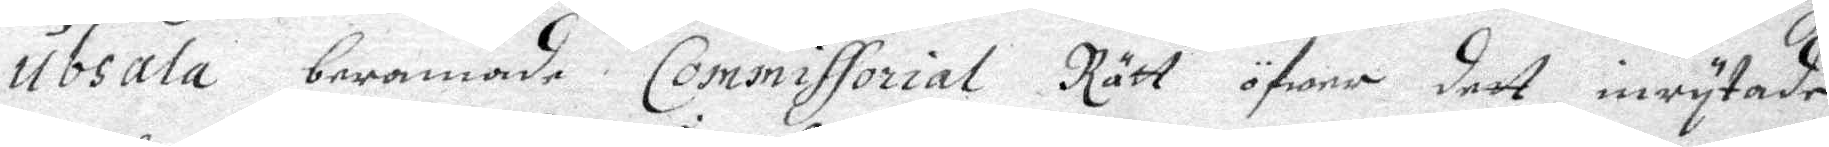Ubsala bermade Commissorial Rätt öfwer deet inrytade
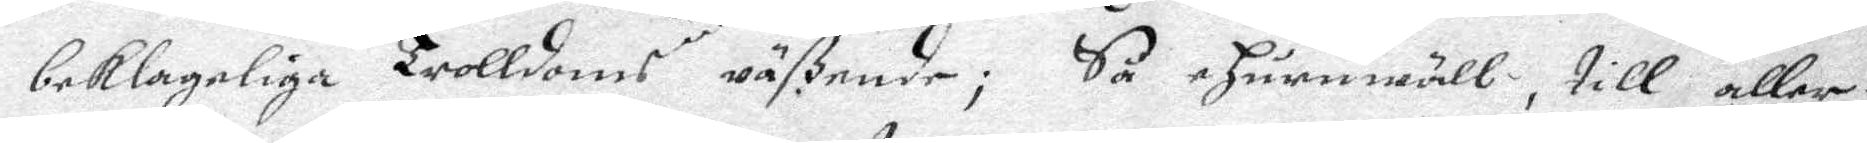beklageliga trolldoms wäßende; Så ehuruwäll, till aller¬
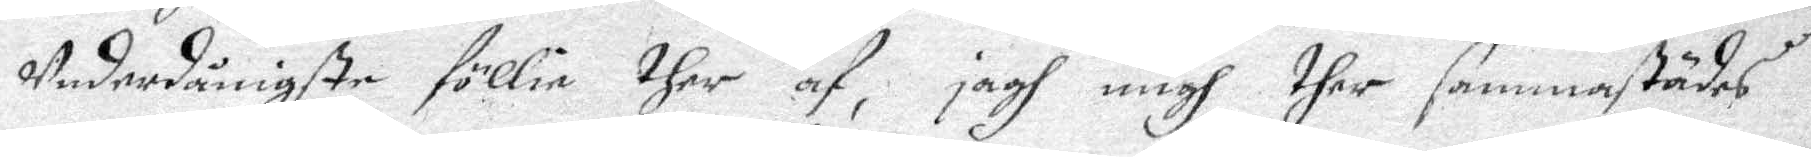Underdånigste föllie ther af, jagh migh ther sammastädes
